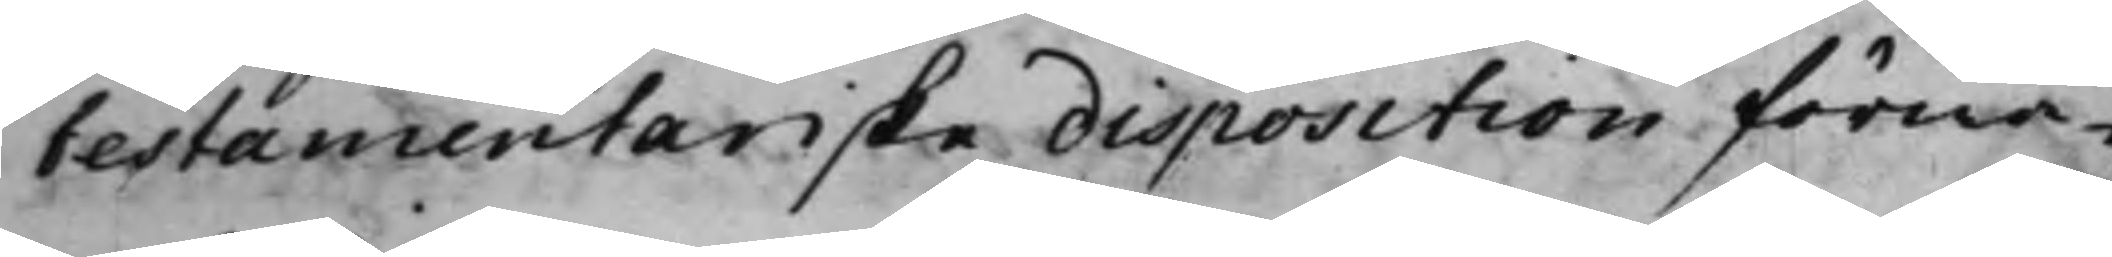testamentariske disposition förwa¬
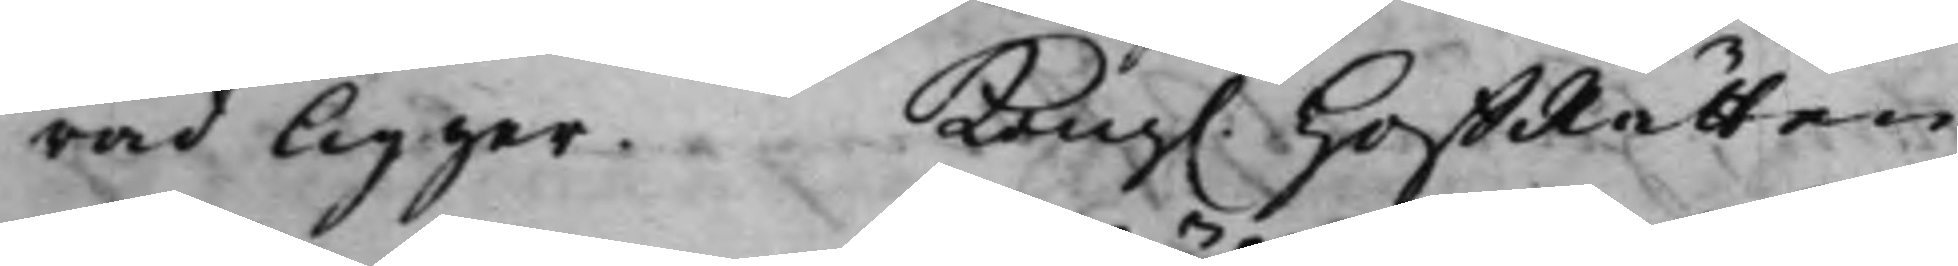rad ligger. Kong. HoffRätten
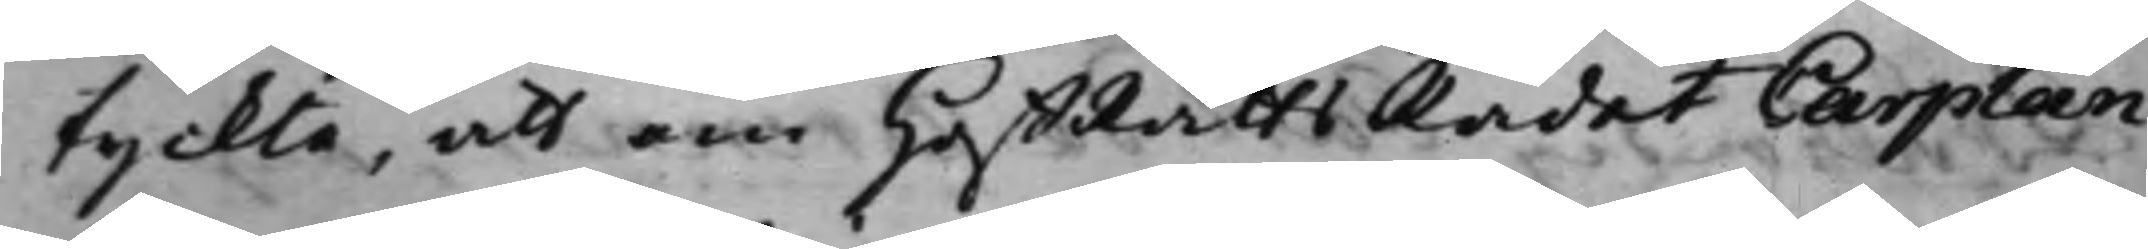tyckte, att om HoffRättsRådet Carplan
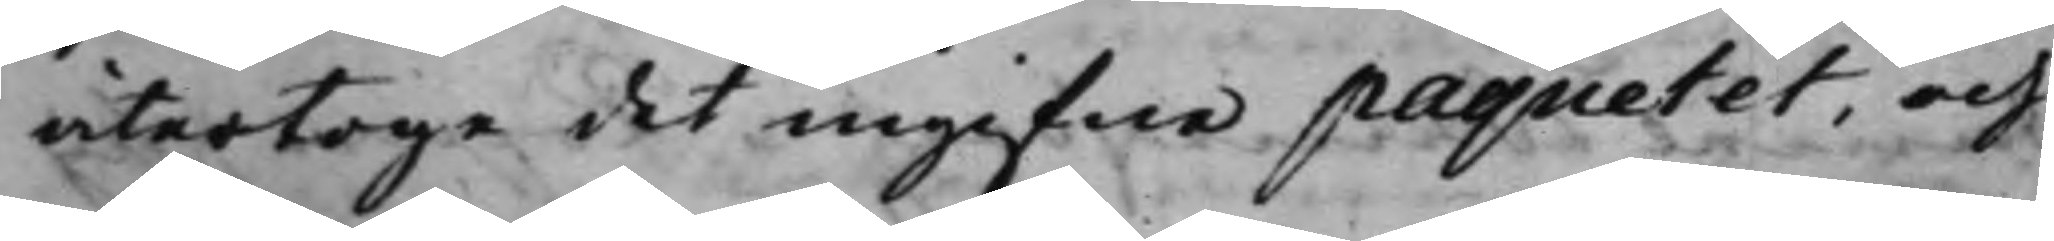återtoge det ingifne paquetet, och
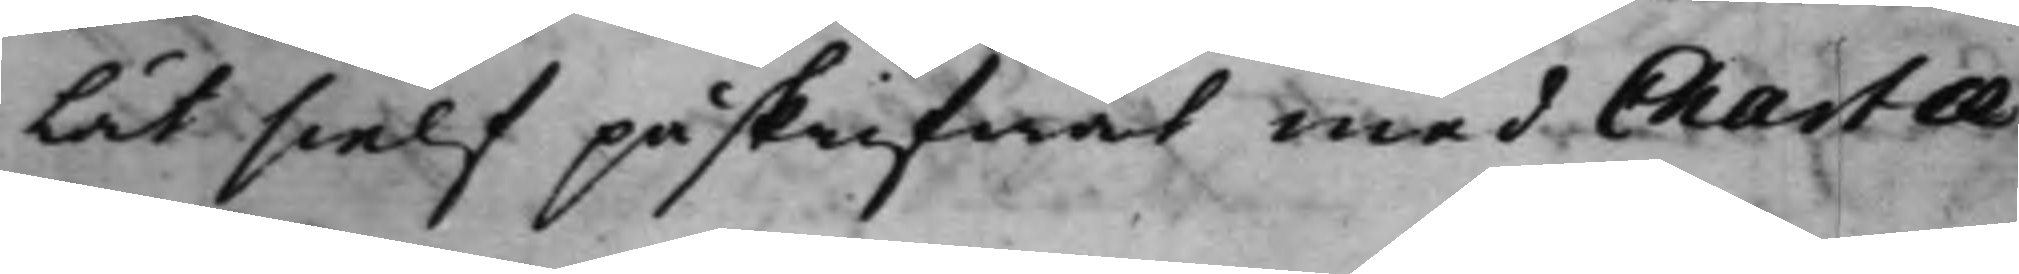lät sielf påskrifwat med Charta
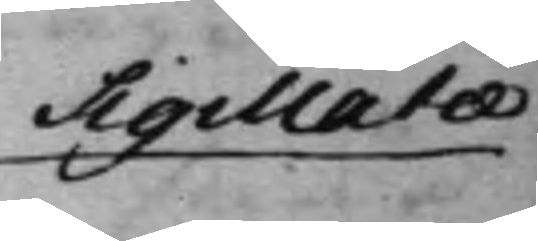Sigillatae
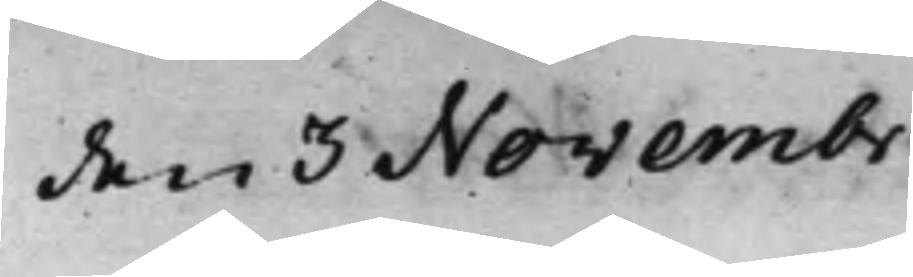den 3 Novembr
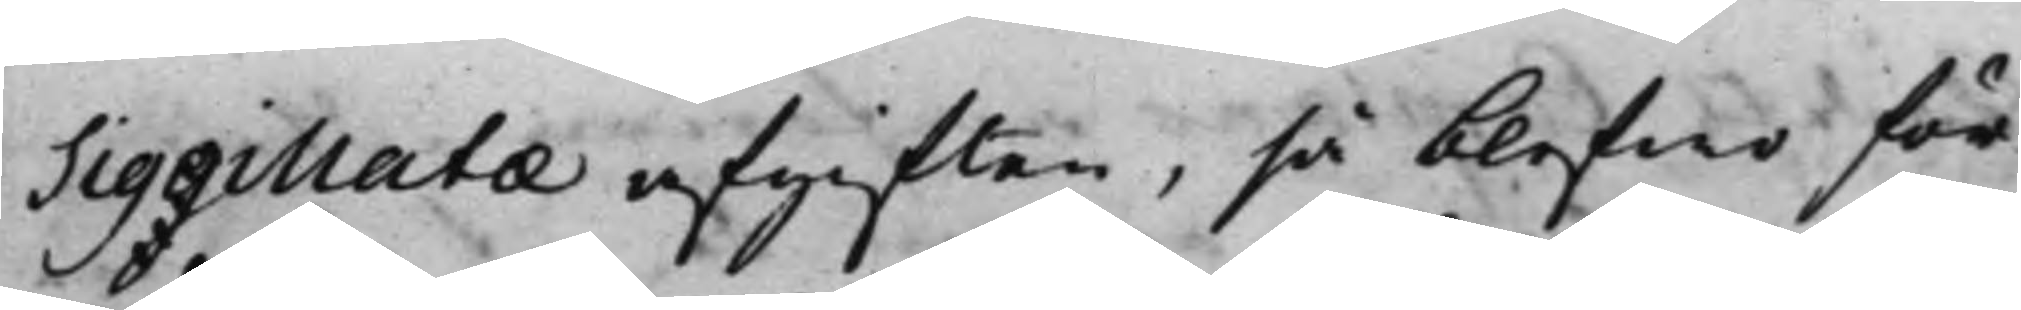Siggillatae afgiften, så blefwo för¬
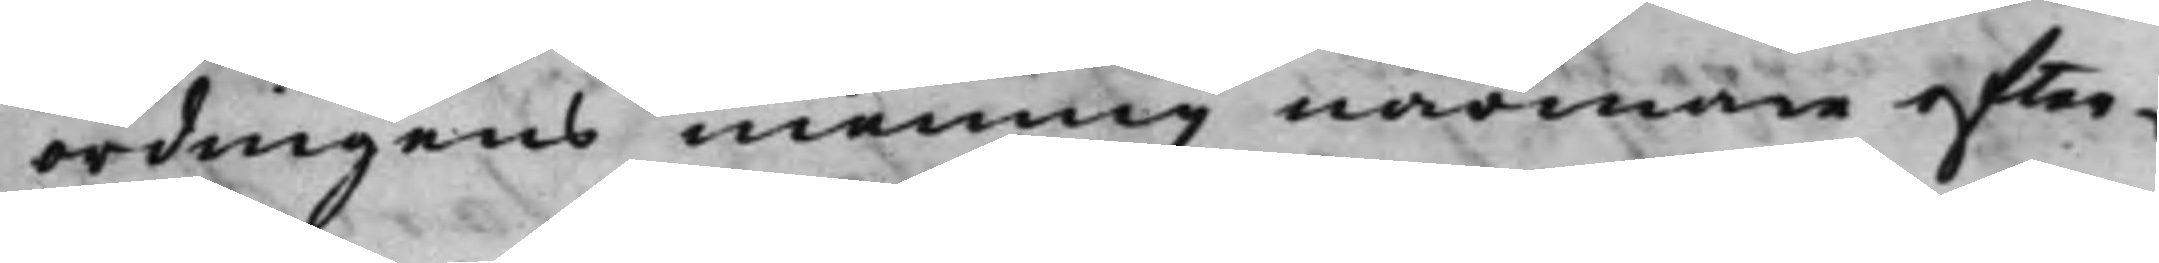ordningens mening närmare efter¬
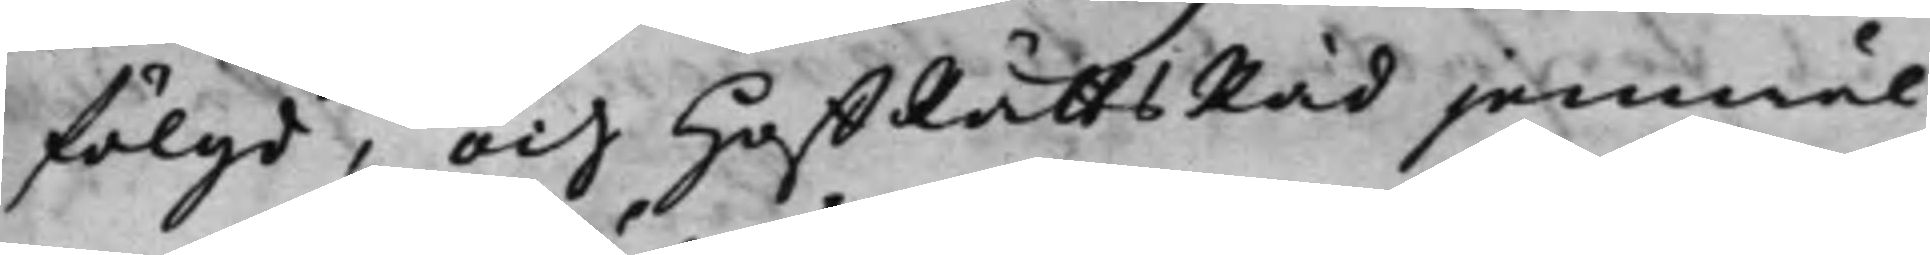fölgd, och HoffRättsRåd jemwäl
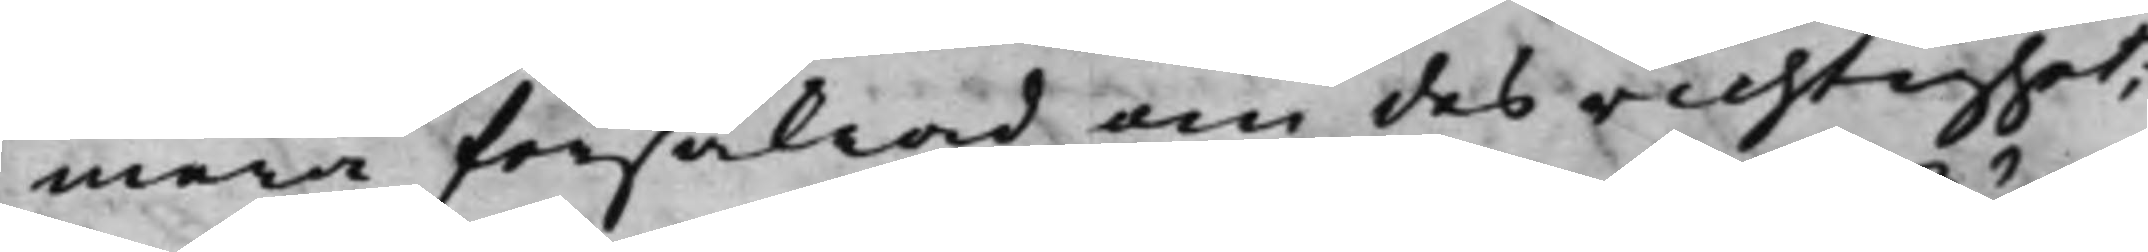mera försäkrad om des richtighet;
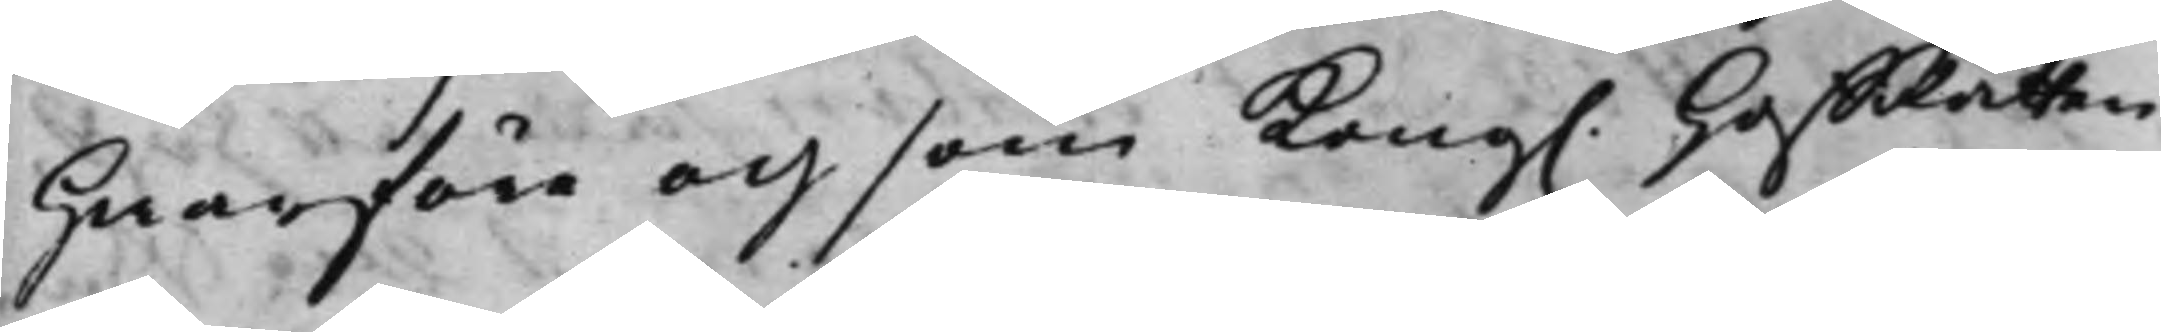Hwarföre och som Kong. HoffRätten
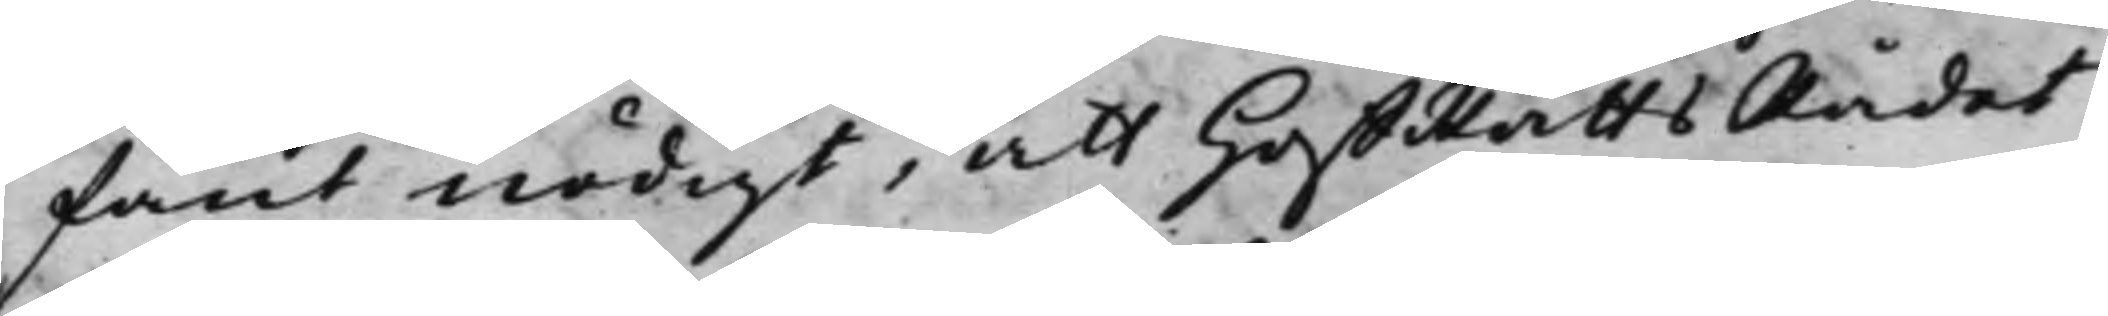fant nödigt, att HoffRättsRådet
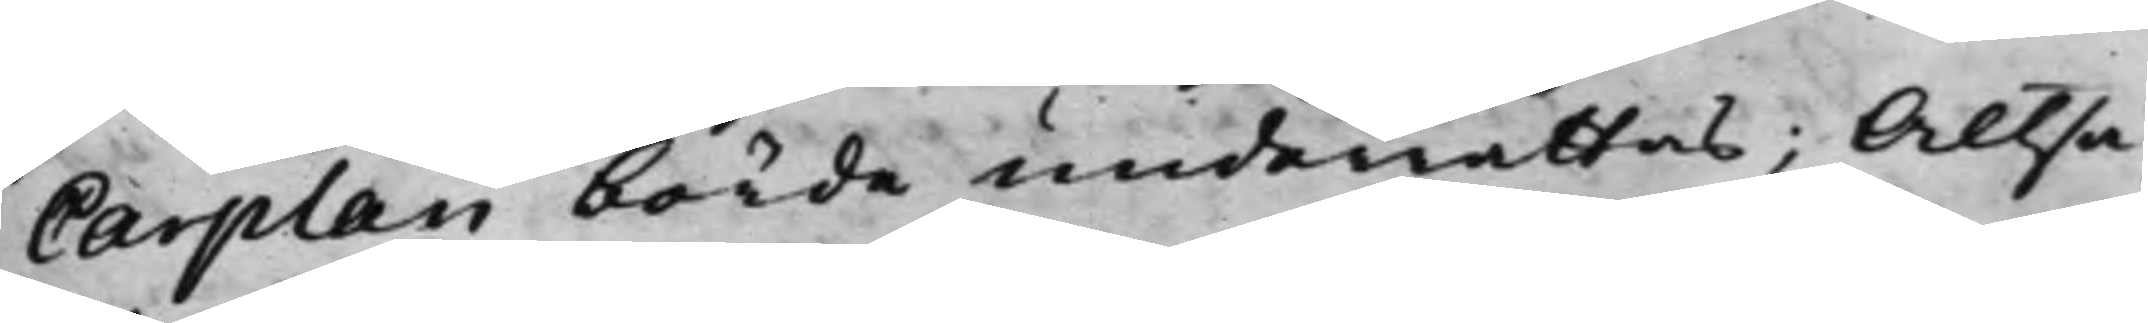Carplan borde underrättas; Altså
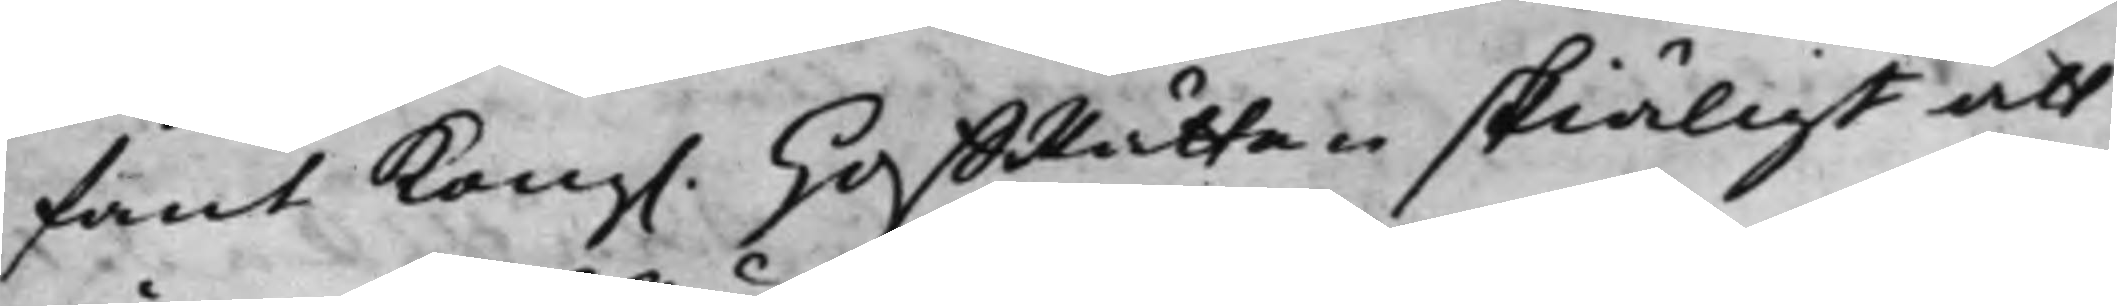fant Kong. HoffRätten skiäligt att
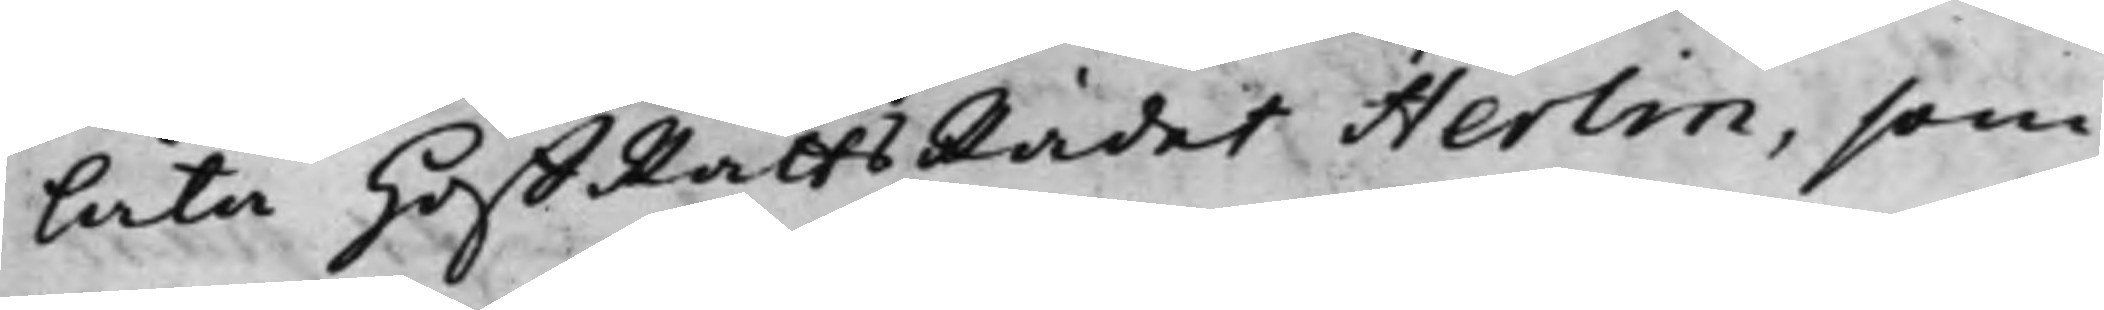låta HoffRättsRådet Herlin, som
